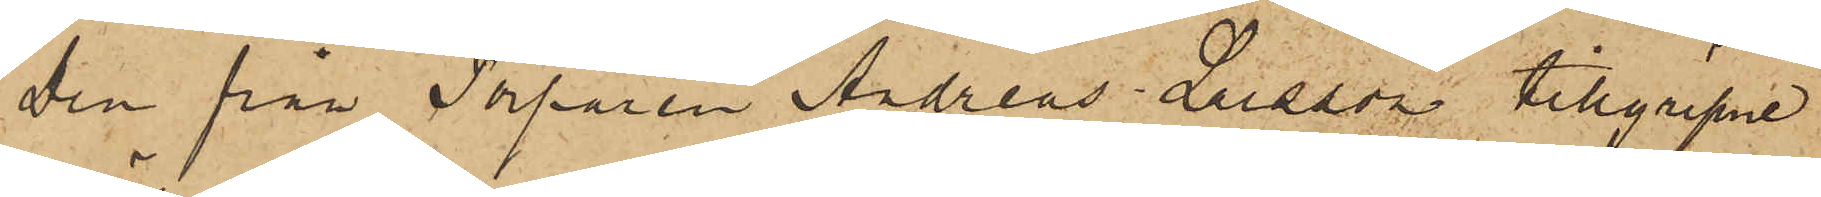Den från Torparen Andreas Larsson tillgripne
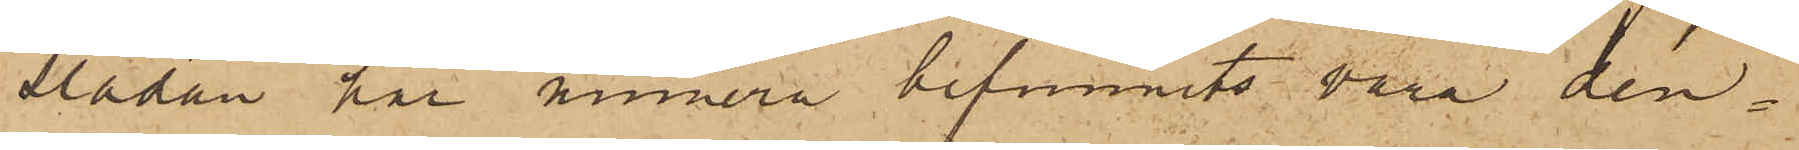slädan har numera befunnits vara den
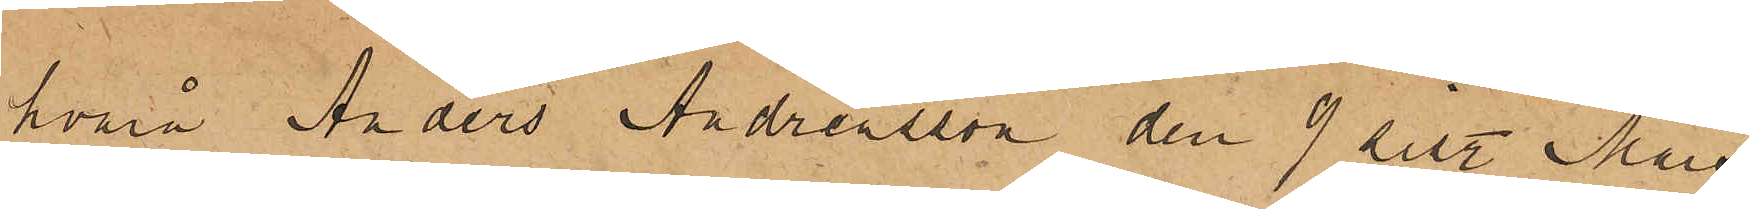hvarå Anders Andreasson den 9 sist. Mars
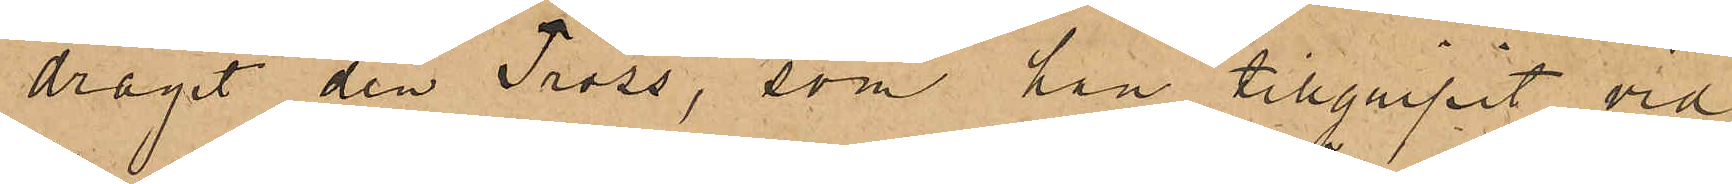dragit den Tross, som han tillgripit vid
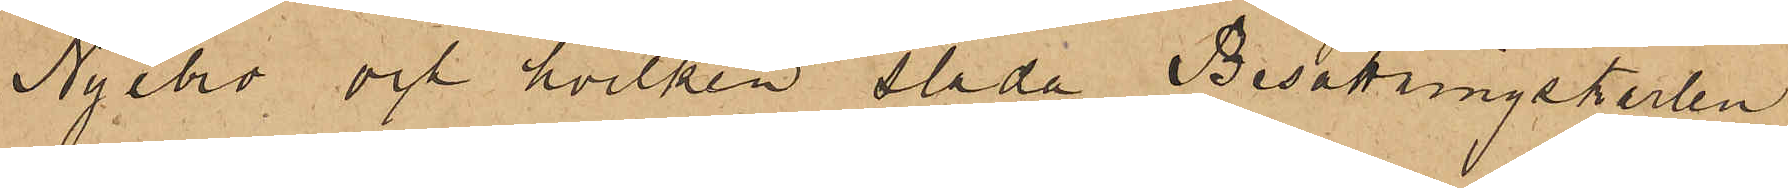Nyebro och hvilken släda Besättningskarlen
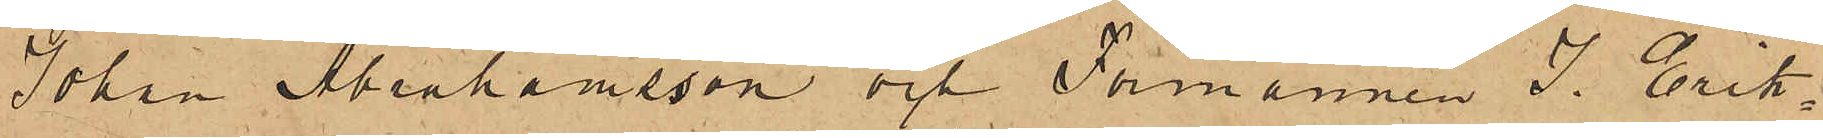Johan Abrahamsson och Förmannen J. Erik¬
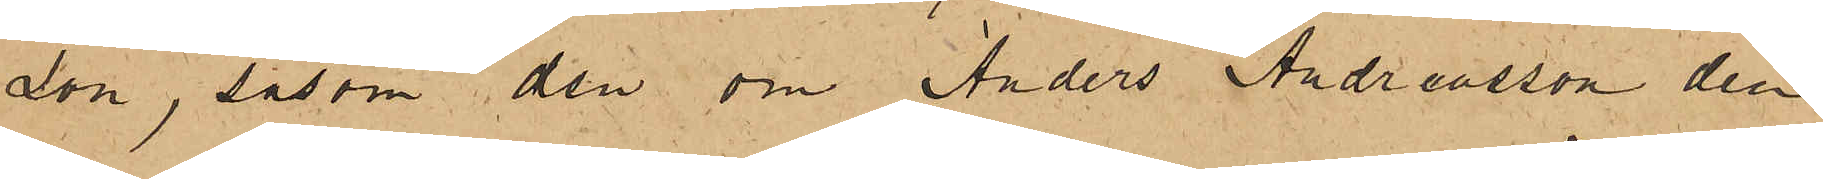son, såsom den om Anders Andreasson den
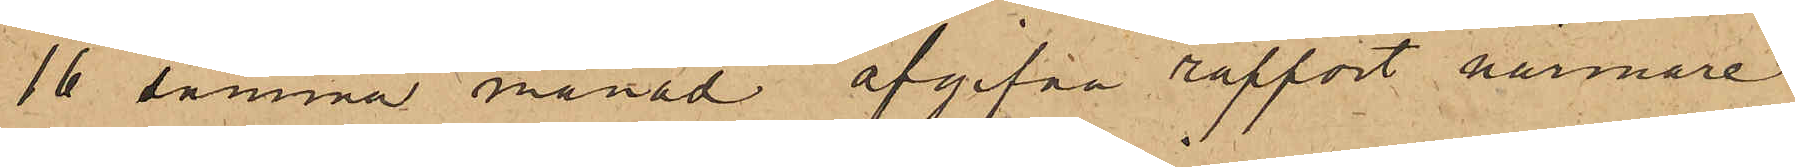16 samma månad afgifna rapport närmare
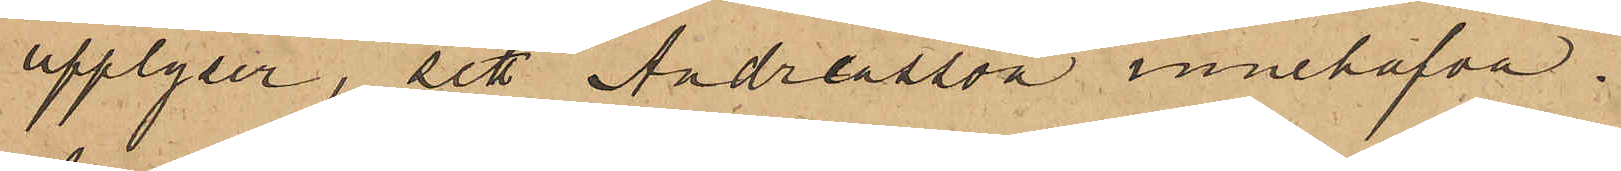upplyser, sett Andreasson innehafva.
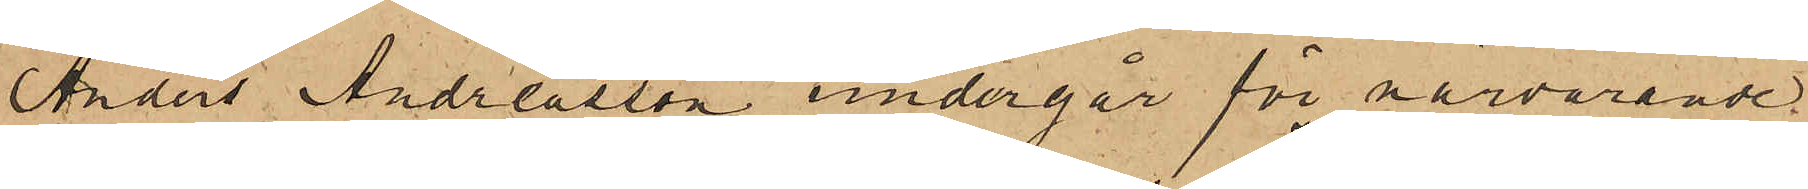Anders Andreasson undergår för närvarande
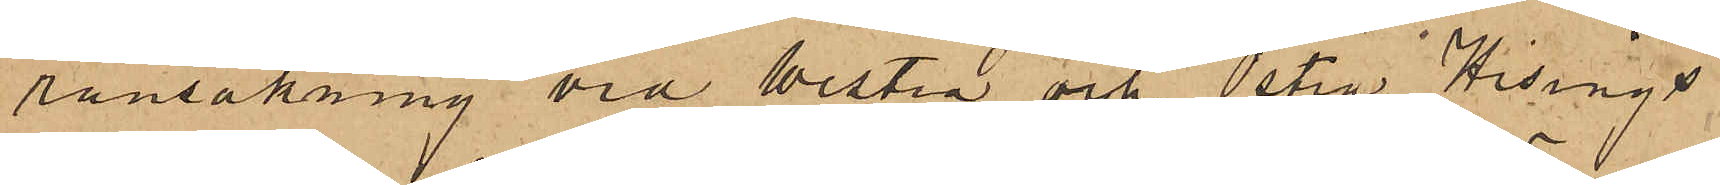ransakning vid Westra och Östra Hisings
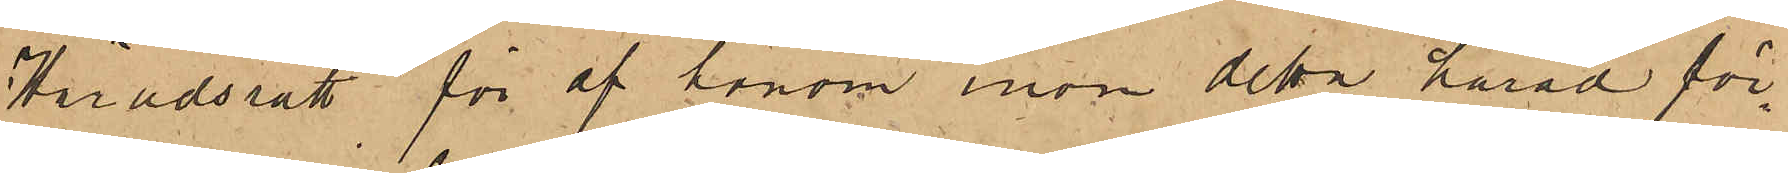Häradsrätt för af honom inom detta härad för¬
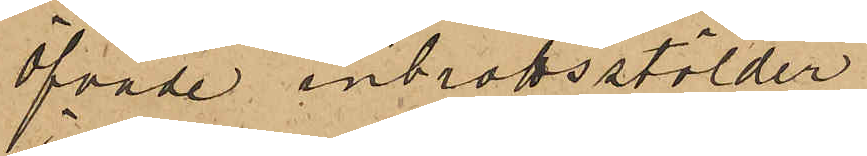öfvade inbrottsstölder.
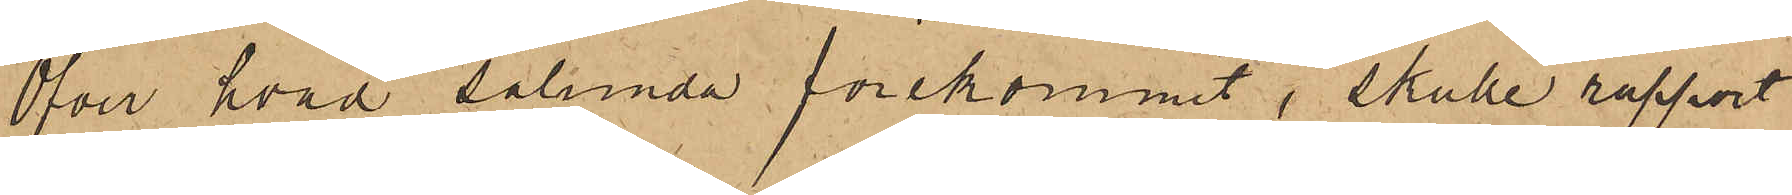Öfver hvad sålunda förekommit, skulle rapport
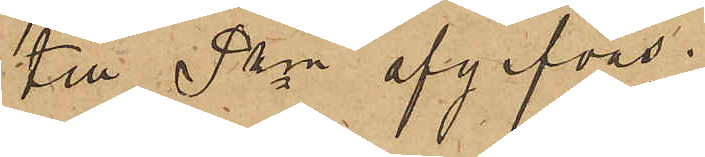till Pkn afgifvas.
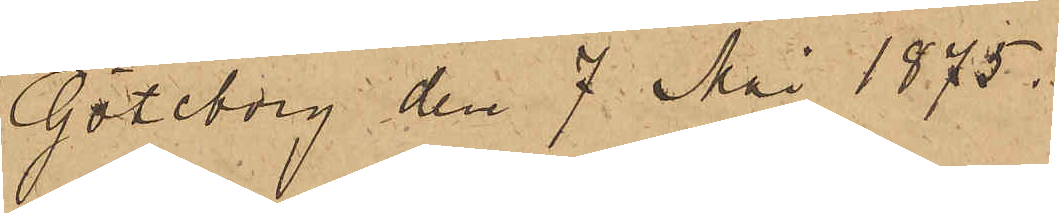Göteborg den 7 Mai 1875.
